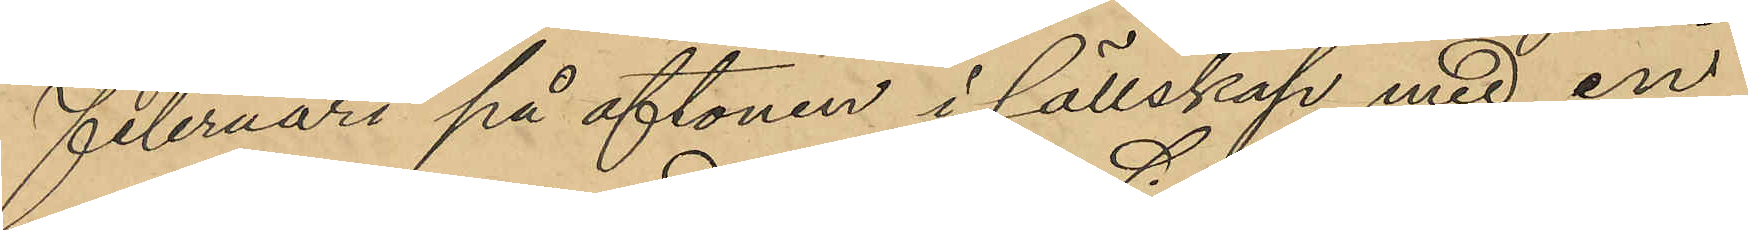Februari på aftonen i sällskap med en
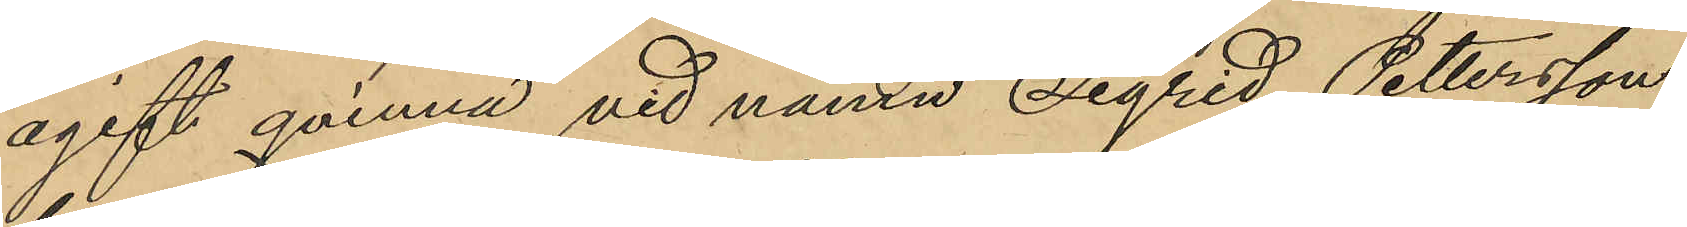ogift qvinna vid namn Sigrid Pettersson,
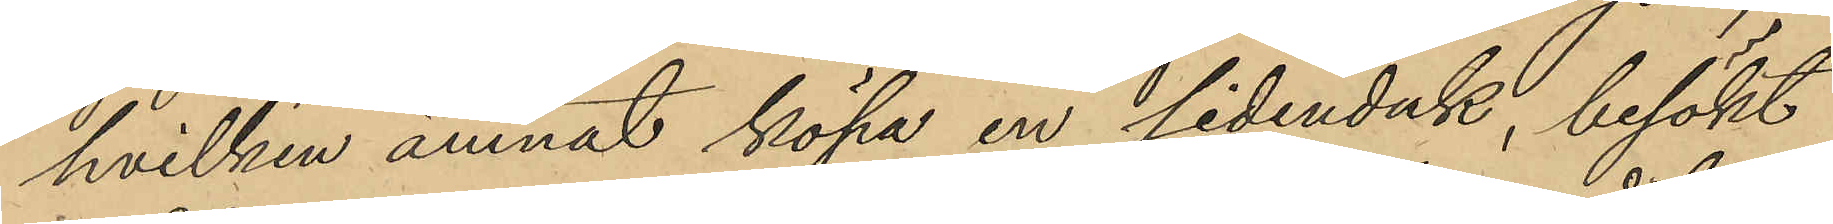hvilken ämnat köpa en sidenduk, besökt
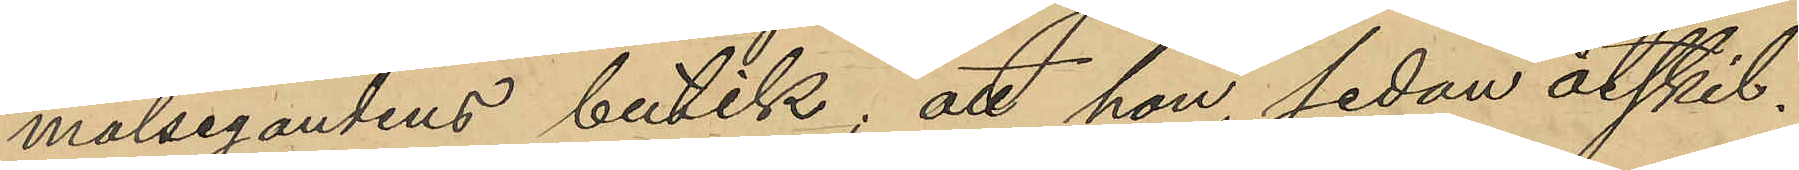målsegandens butik; att hon, sedan åtskil¬
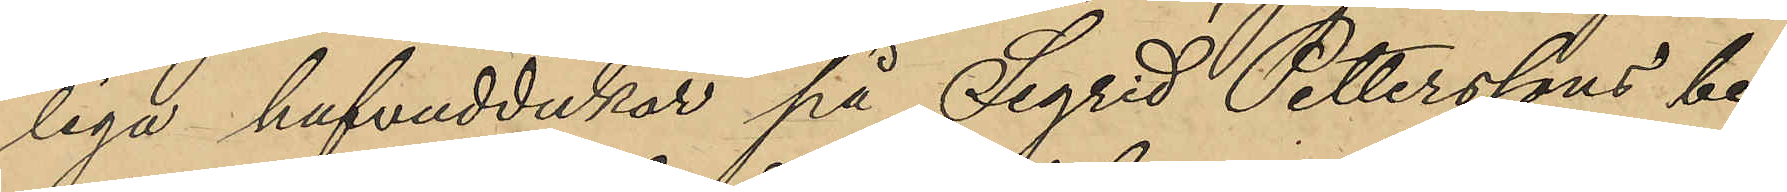liga hufvuddukar på Segrid Petterssons be¬
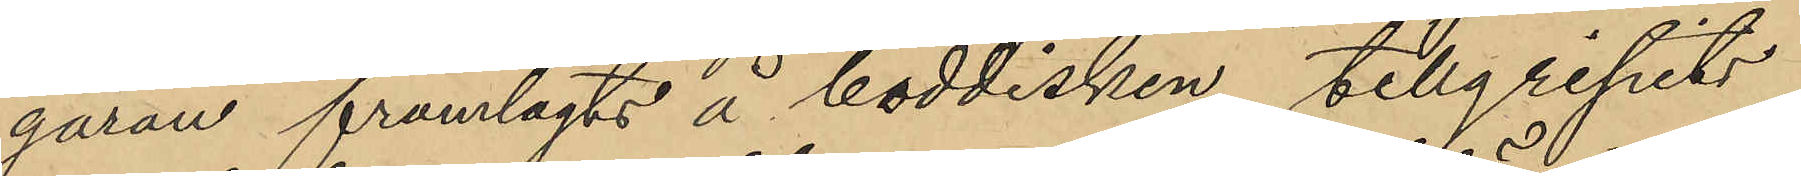gäran framlagts å boddisken, tillgripits
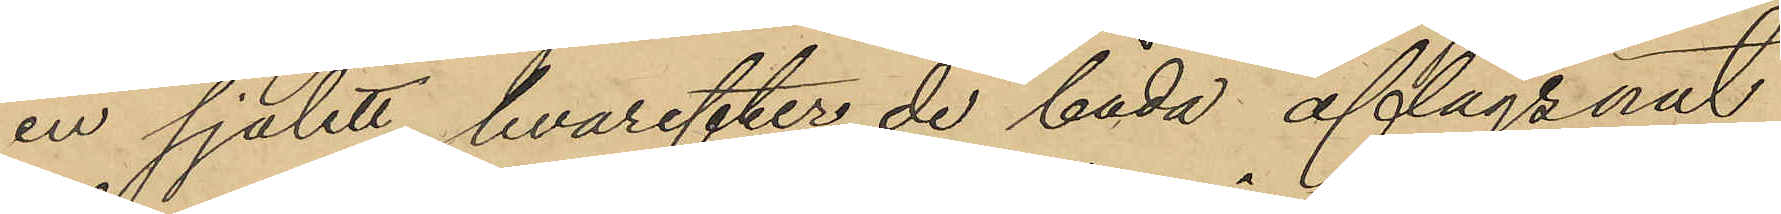en sjalett, hvarefter de båda aflägsnat
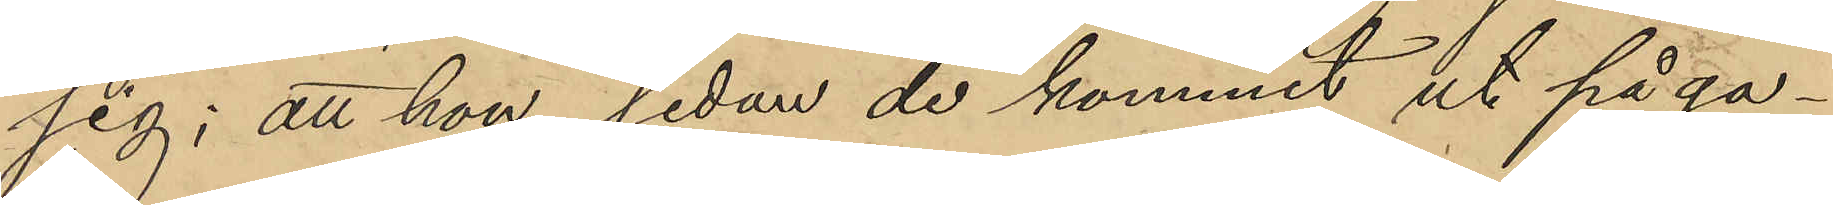sig; att hon sedan de kommit ut på ga¬
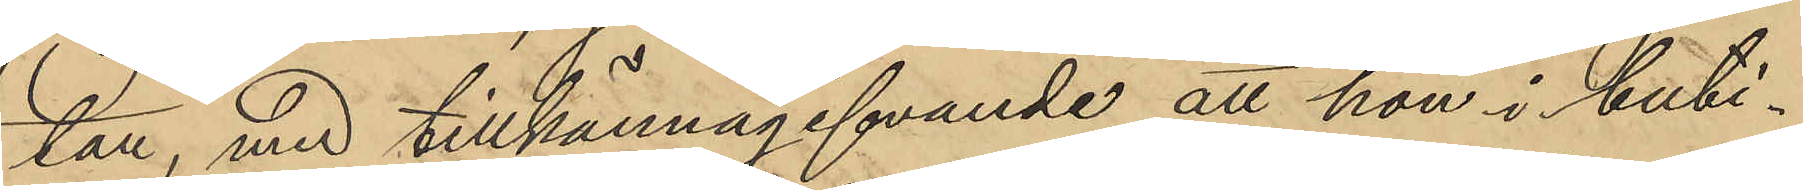tan, med tillkännagifvande att hon i buti¬
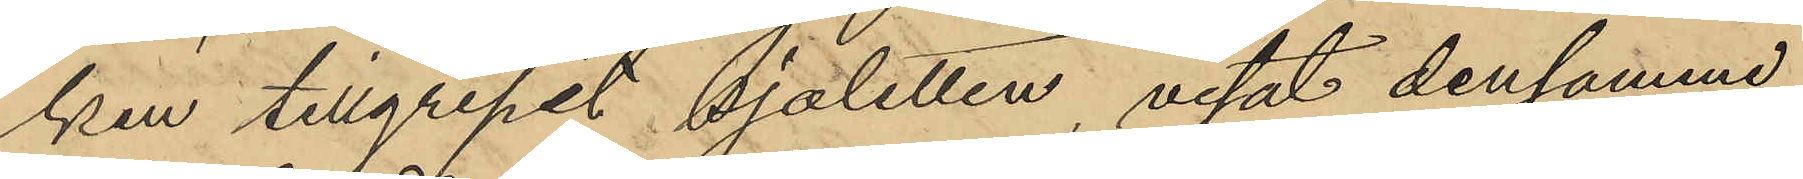ken tillgripit sjaletten, visat densamme
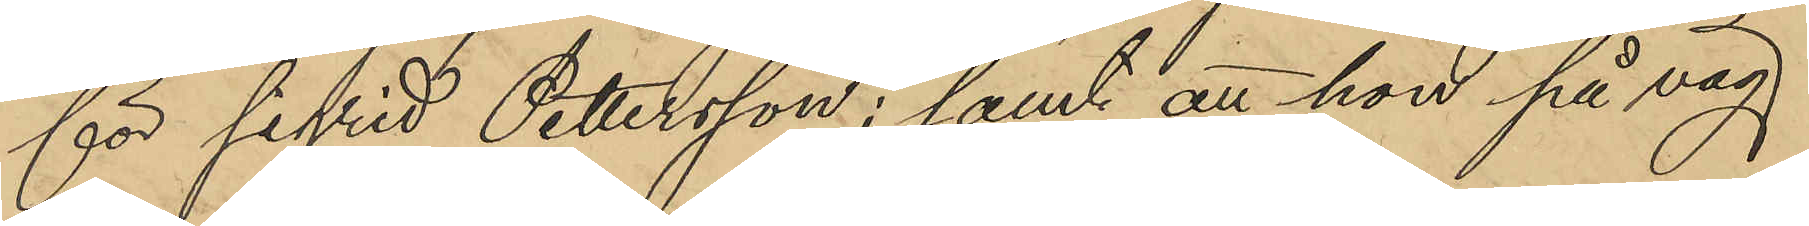för sigrid Pettersson; samt att hon på väg
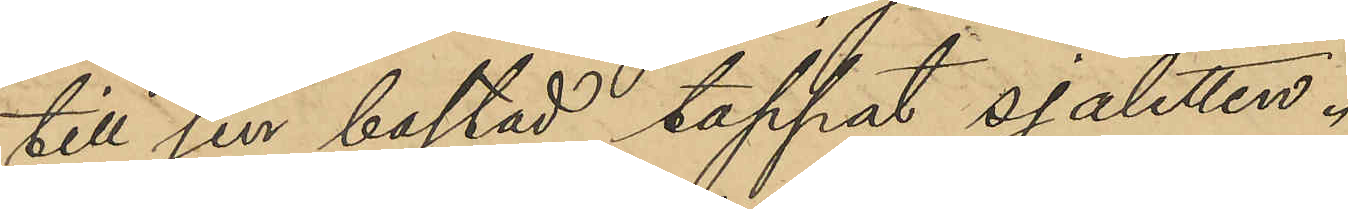till sin bostad tappat sjaletten.
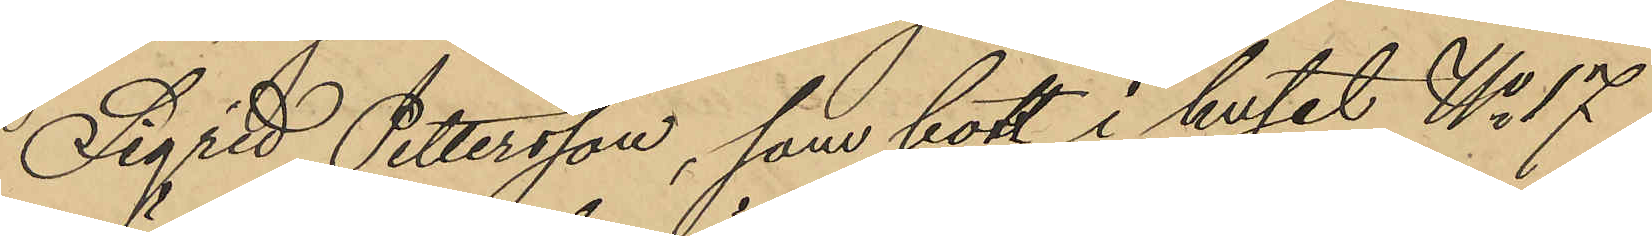Sigrid Pettersson, som bott i huset No 17
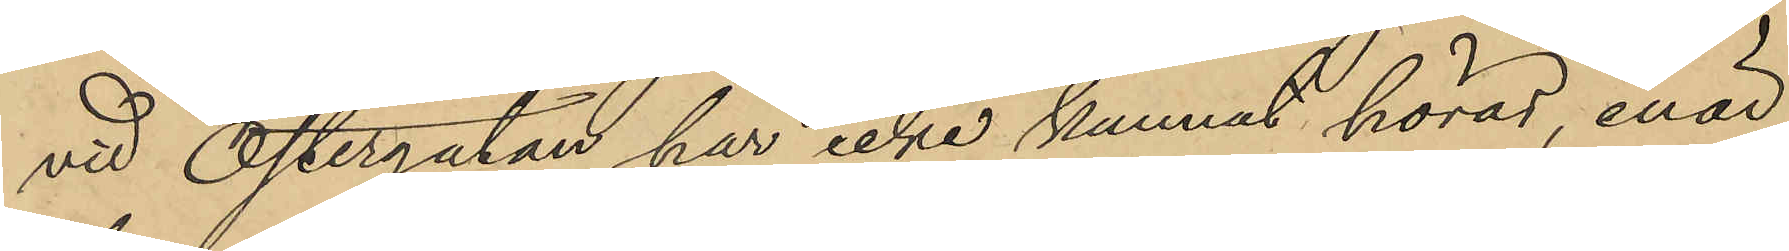vid Östergatan, har icke kunnat höras, enär
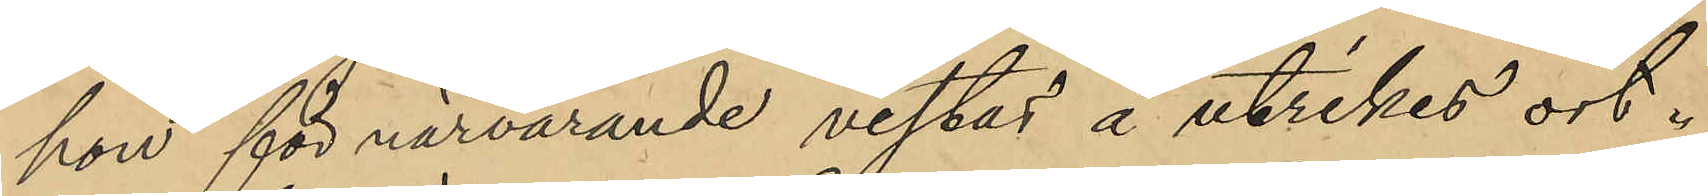hon för närvarande vistas å utrikes ort.
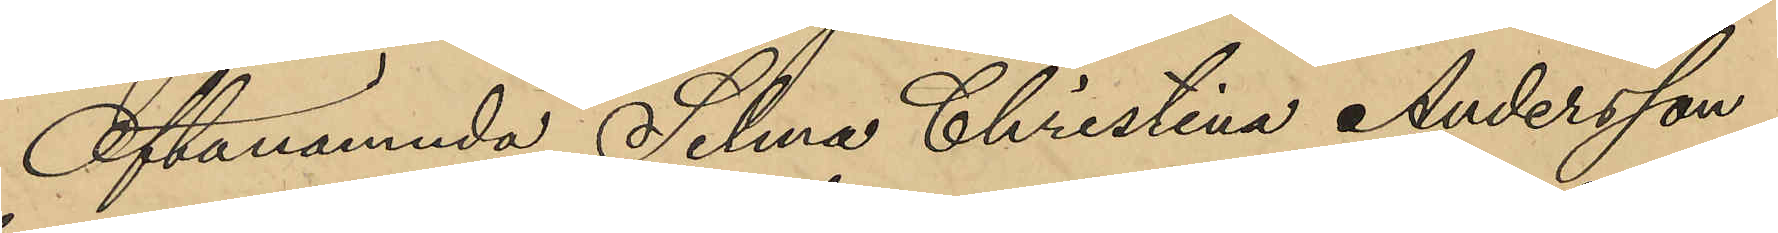Oftanämnda Selma Christina Andersson
